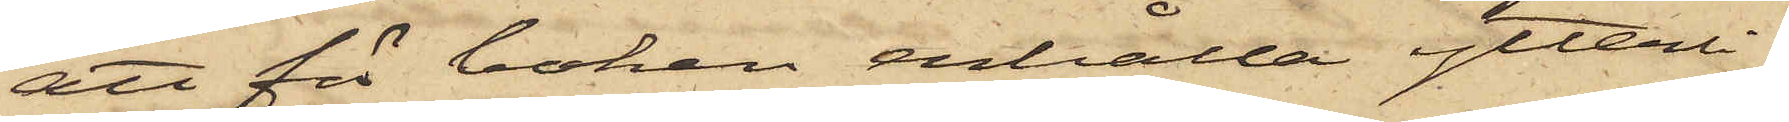att för boken erhålla ytterli¬
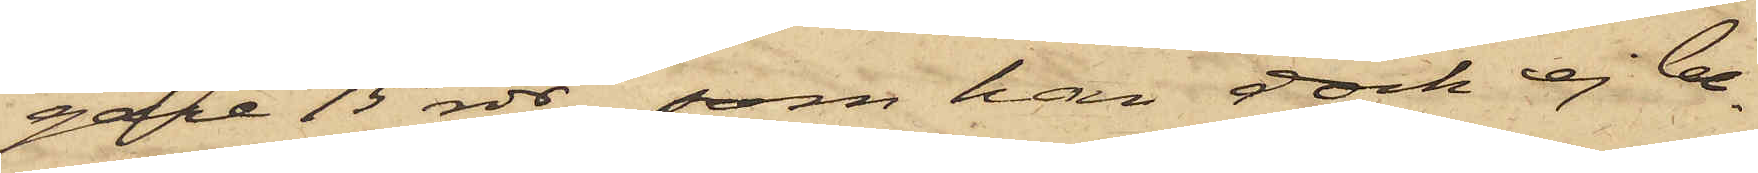gare 15 rdr, som han dock ej be¬
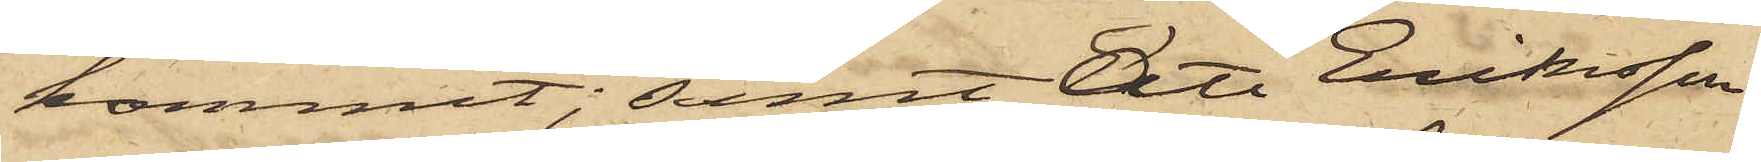kommit; samt att Eriksson
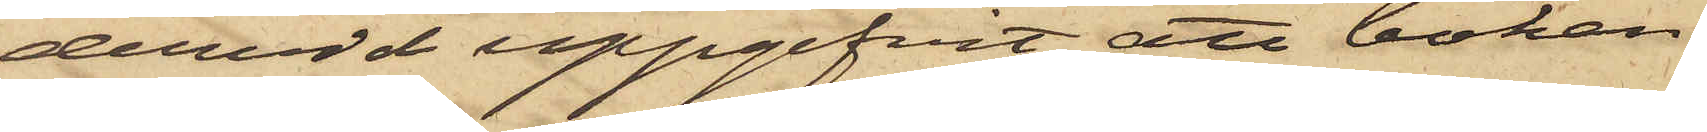dervid uppgifvit att boken
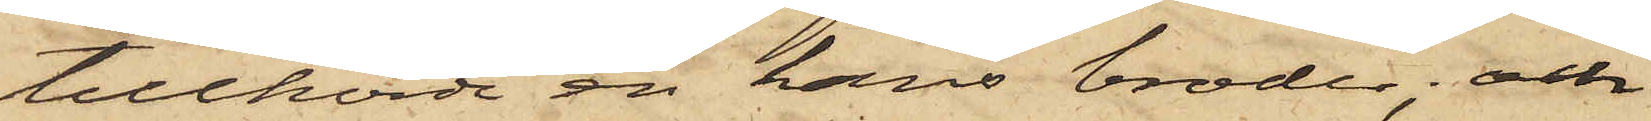tillhörde en hans broder; och
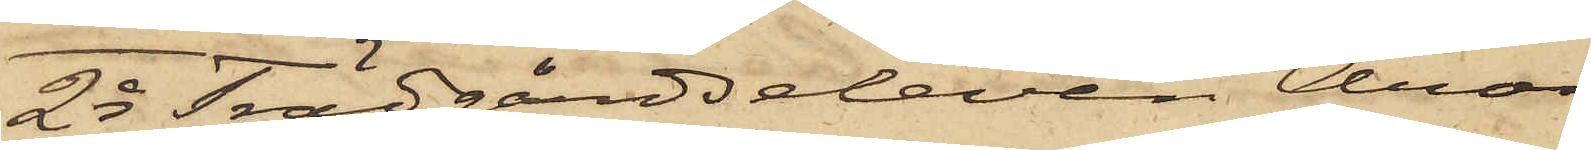2o Trädgårdseleven Aron
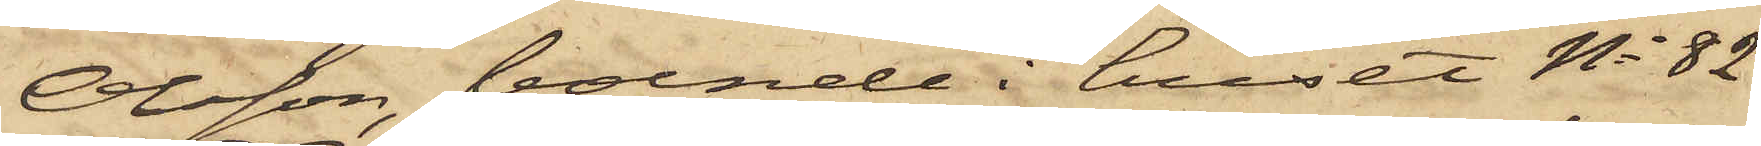Olsson, boende i huset No 82
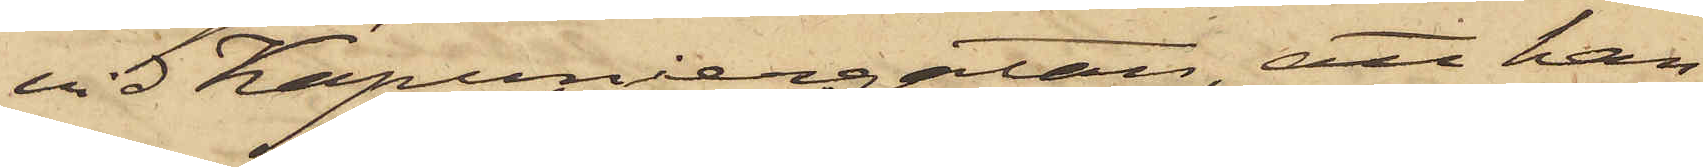vid Kapuniergatan, att han
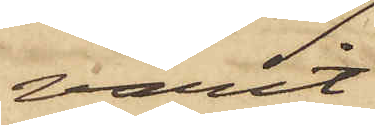varit
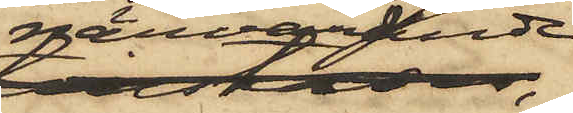närvarande,
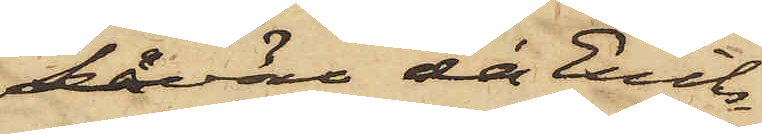såväl då Eriks¬
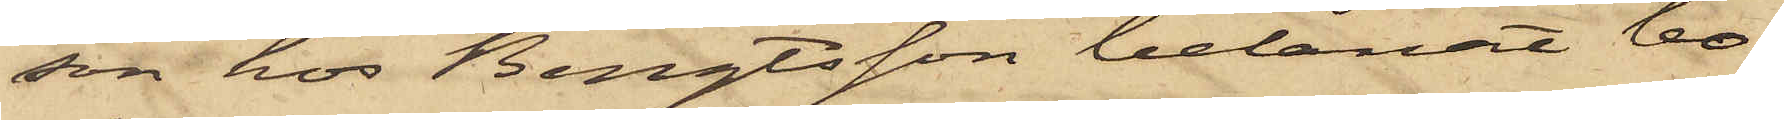son hos Bengtsson belånat bo¬
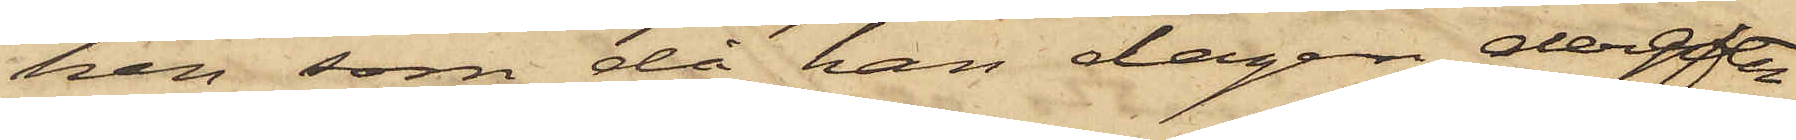ken, som då han dagen derefter
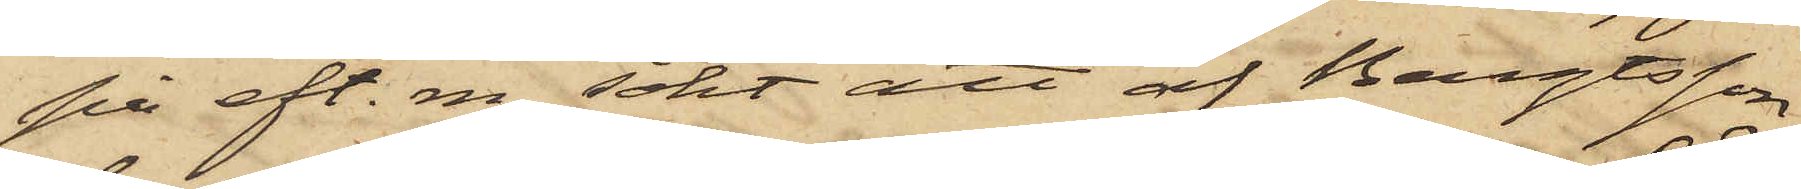på eft. m. sökt att af Bengtsson
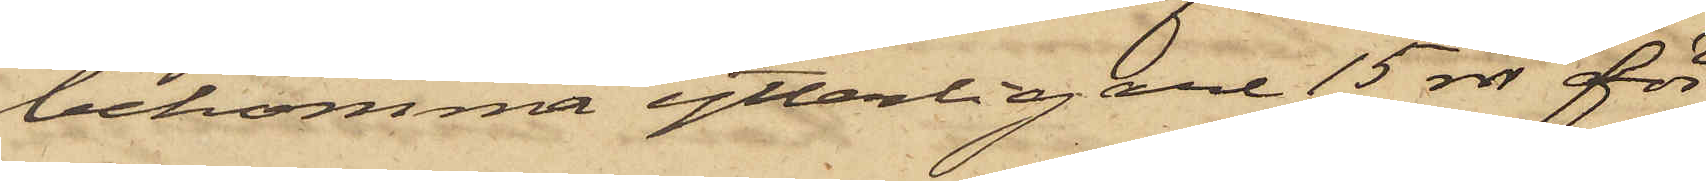bekomma ytterligare 15 rdr för
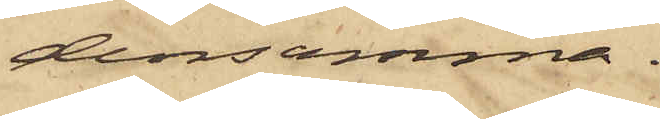densamma.
